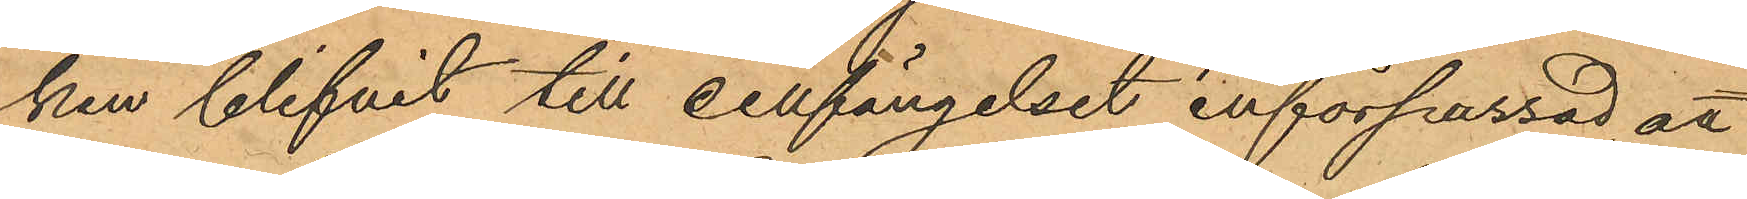ken blifvit till cellfängelset införpassad, att
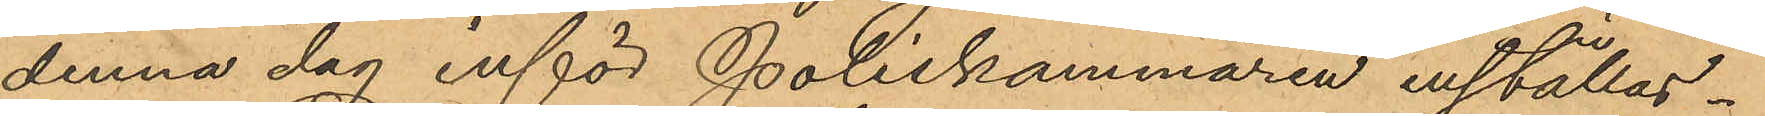denna dag inför Poliskammaren inställas.
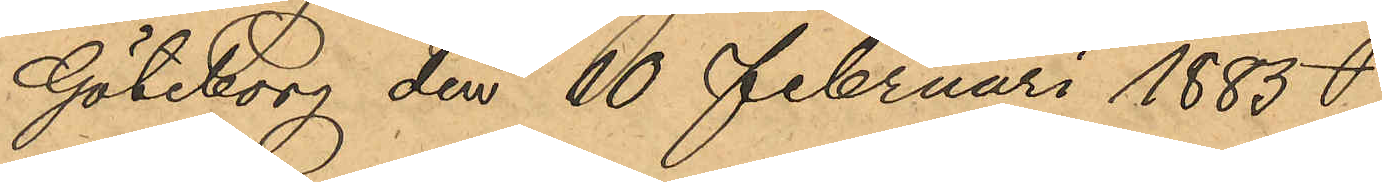Göteborg den 10 februari 1885
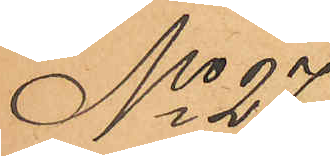No 27
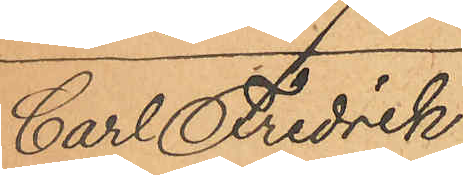Carl Fredrik
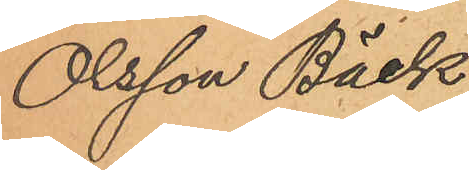Olsson Bäck
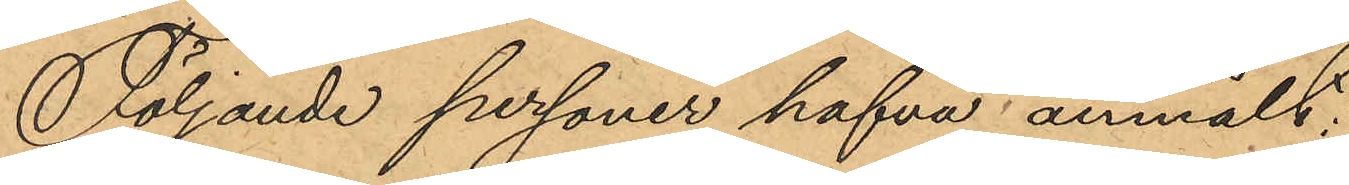Följande personer hafva anmält:
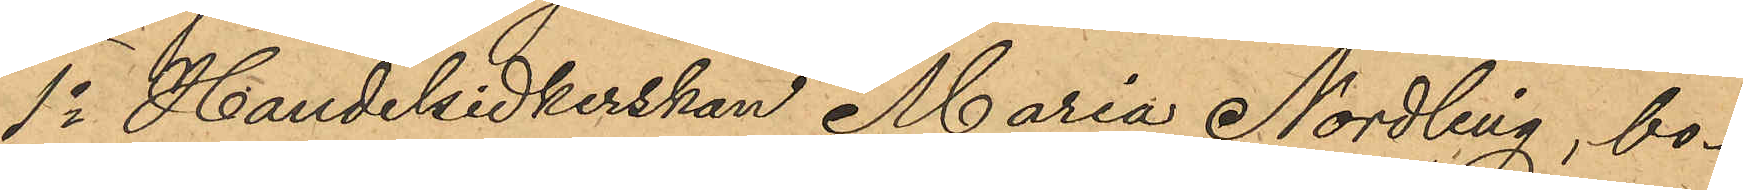1o Handelsidkerskan Maria Nordling, bo¬
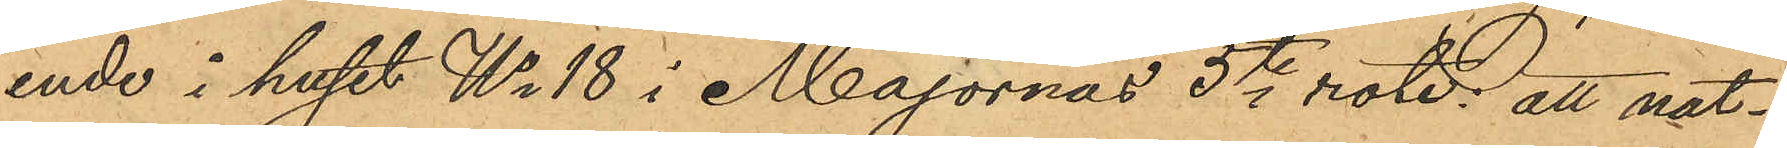ende i huset No 18 i Majornas 5te rote; att nat¬
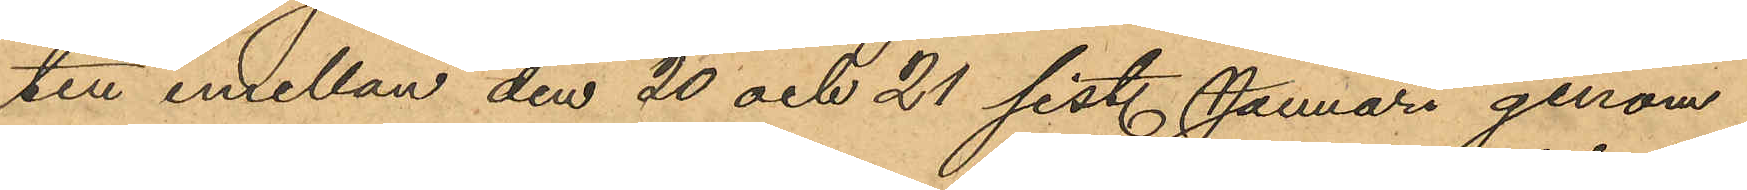ten emellan den 20 och 21 sist. Januari genom
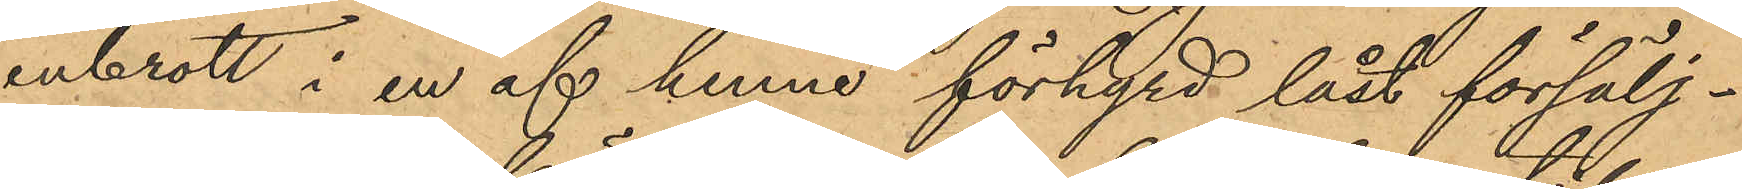inbrott i en af henne förhyrd låst försälj¬
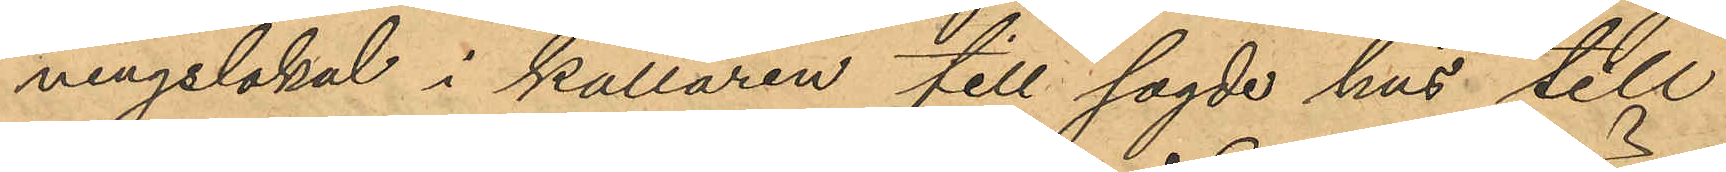ningslokal i källaren till sagde hus till
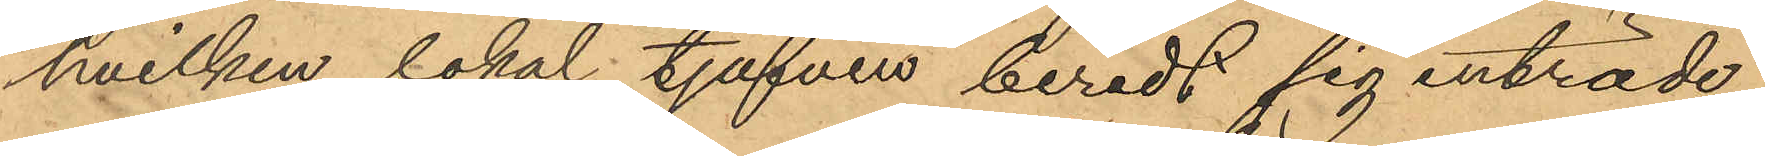hvilken lokal tjufven beredt sig inträde
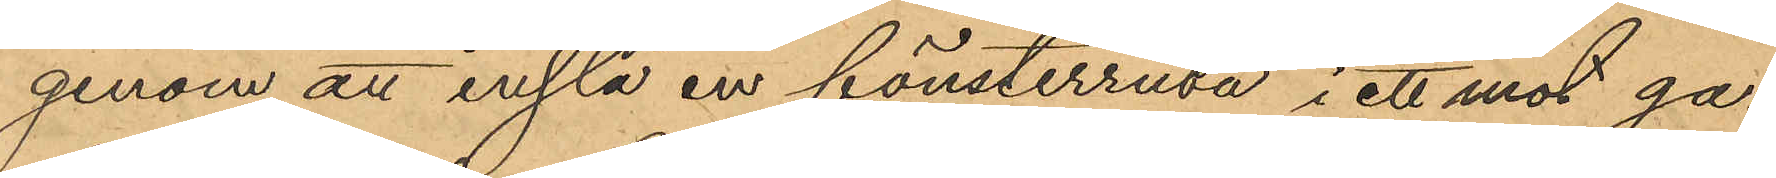genom att inslå en fönsterruta i ett mot ga¬
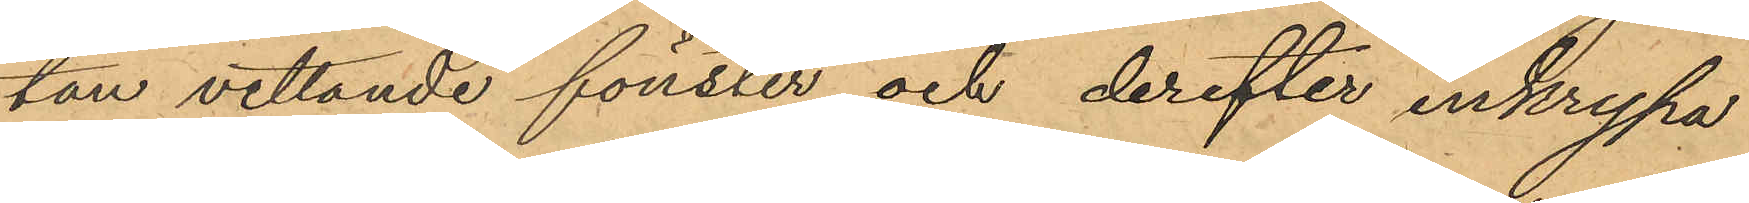tan vettande fönster och derefter inkrypa
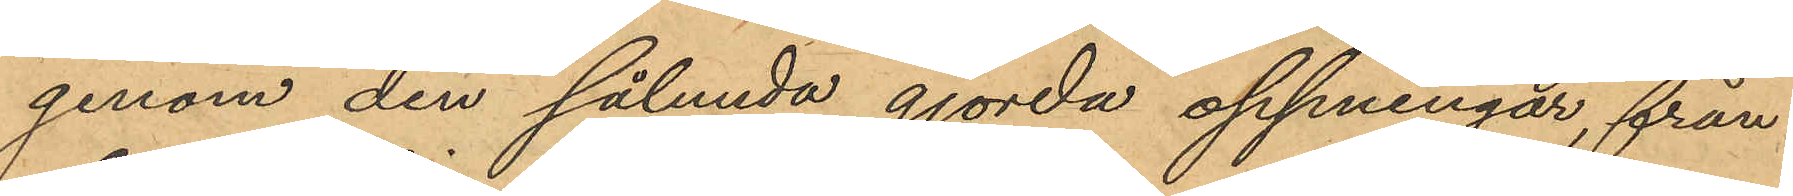genom den sålunda gjorda oppningar, från
